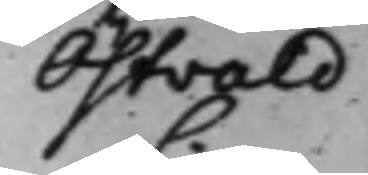Östvald
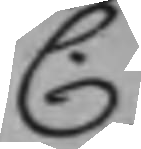C.
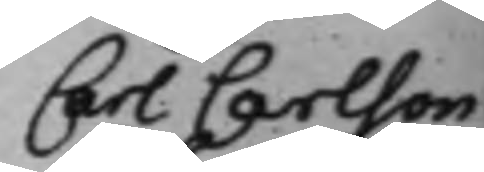Carl Carlson
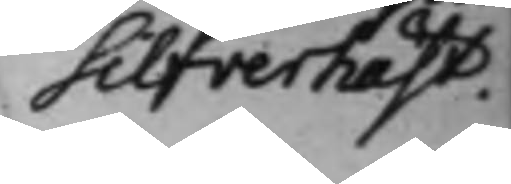Silfverhäst.
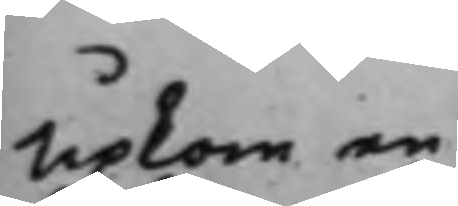upkom en
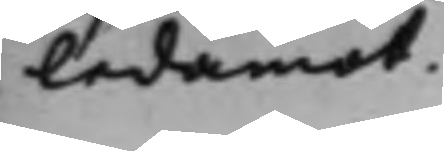ledamot
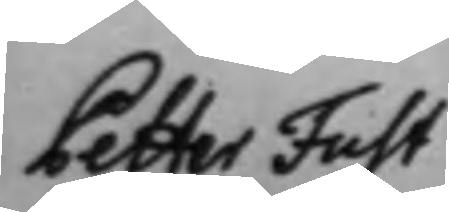Petter Fust
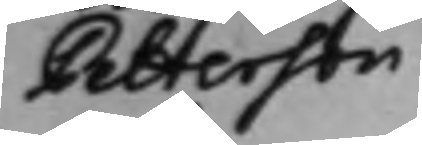Petterson
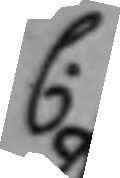C.
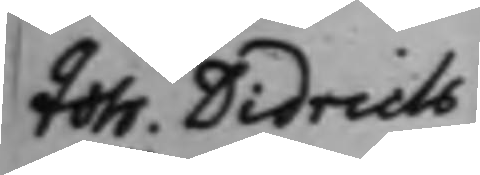Joh. Didrich
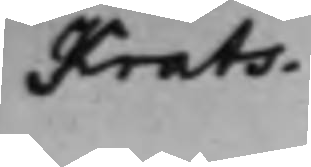Krats.
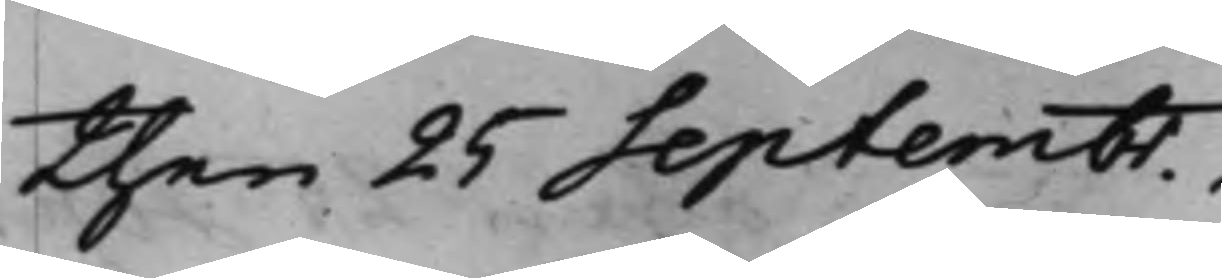then 25 Septembr.
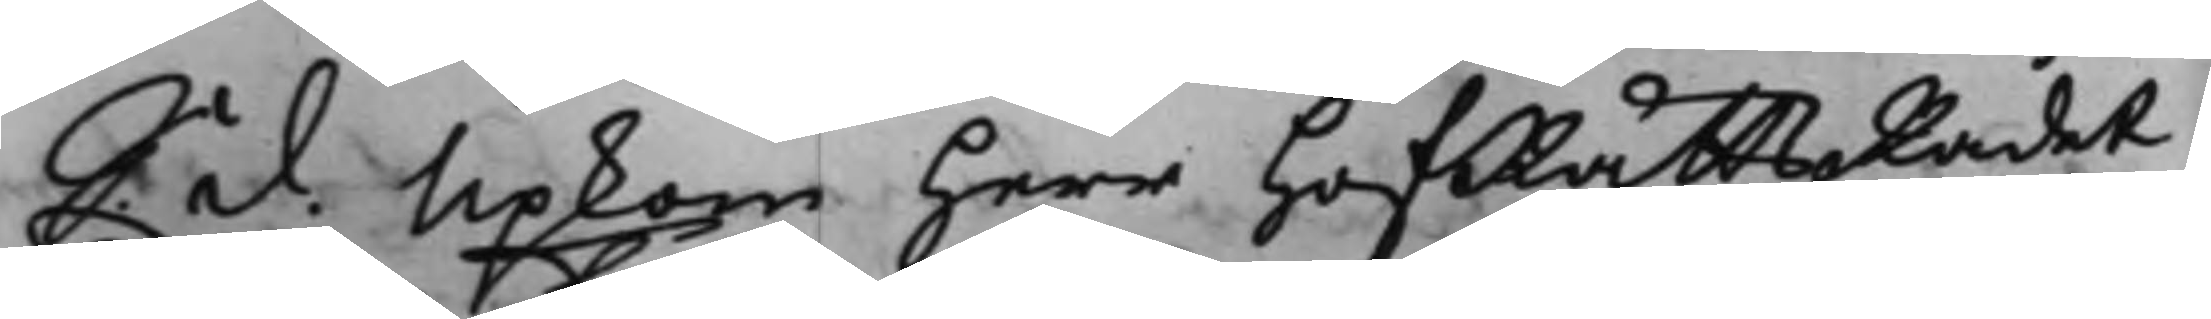S. d. Upkom Herr HofRättsRådet
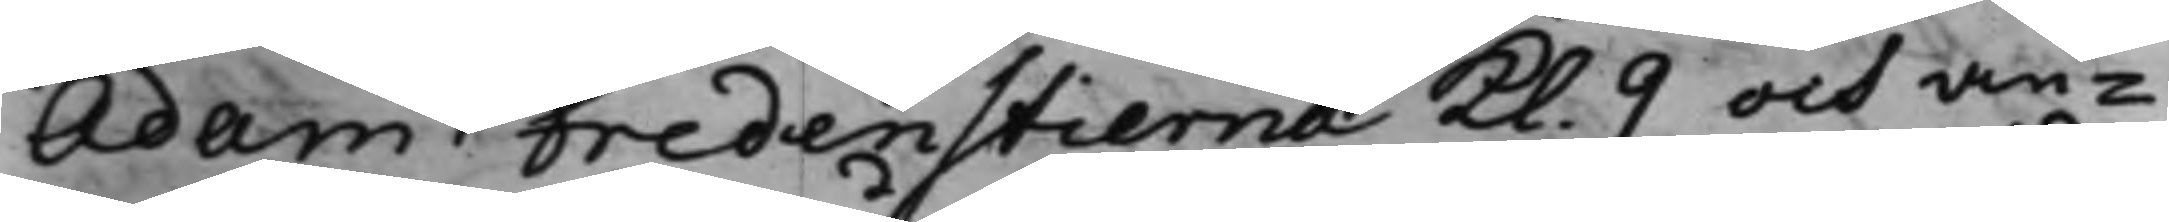Adam Fredenstierna Kl. 9 och an¬
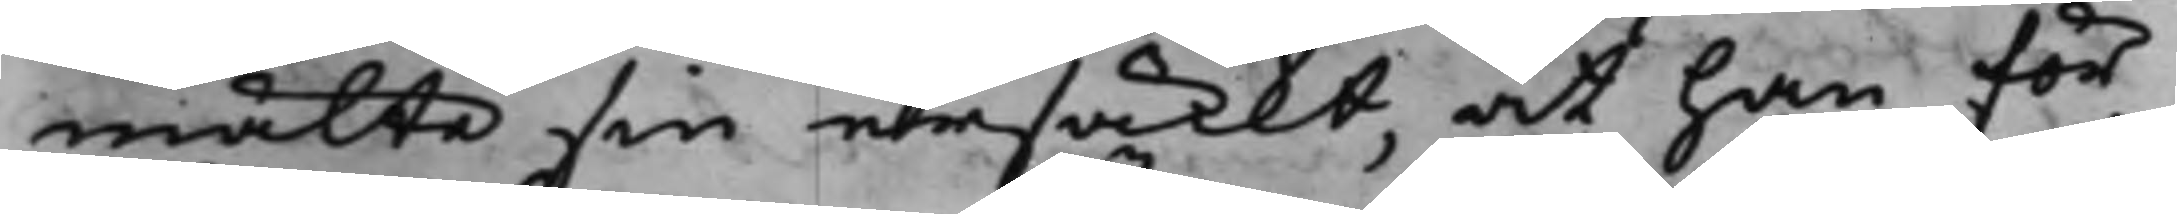mälte sin ursäckt, at han för
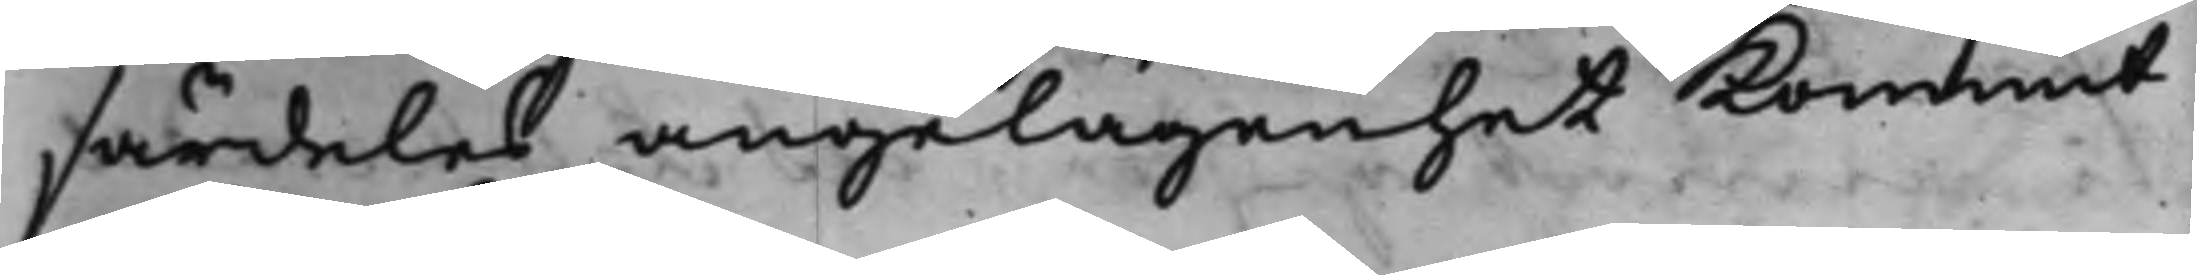särdeles angelägenhet kommit
